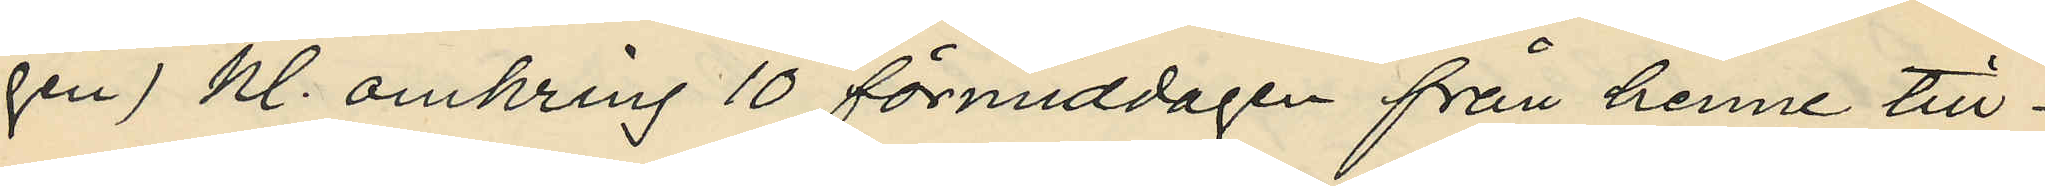gen) kl. omkring 10 förmiddagen från henne till¬
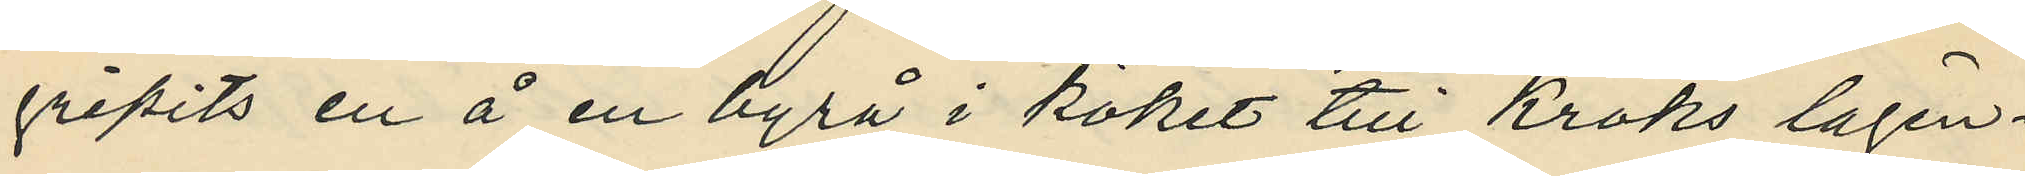gripits en å en byrå i köket till Kroks lägen¬
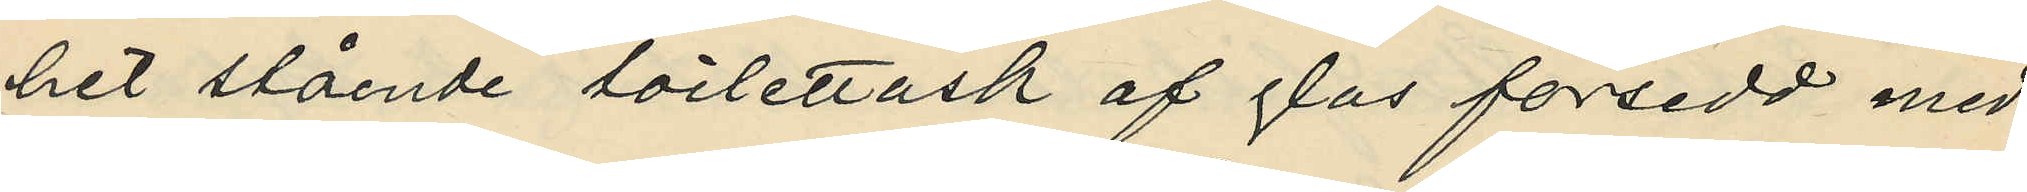het stående toilettask af glas försedd med
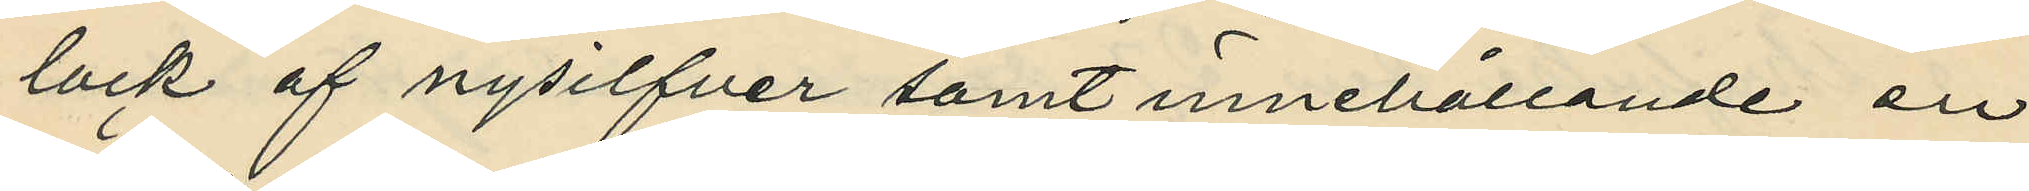lock af nysilfver samt innehållande en
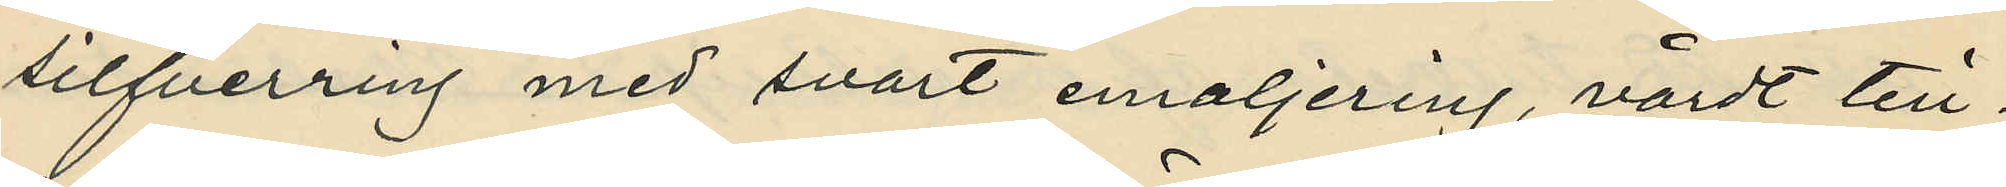silfverring med svart emaljering, värdt till¬
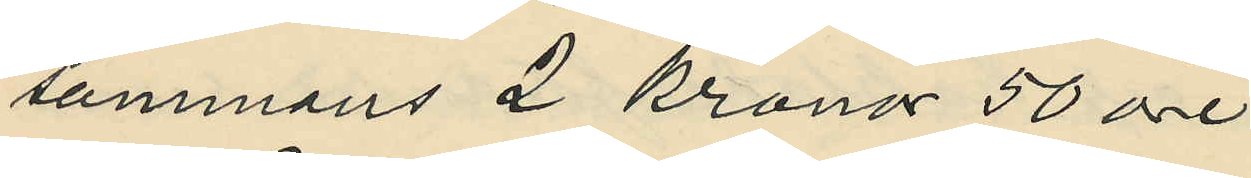sammans 2 kronor 50 öre;
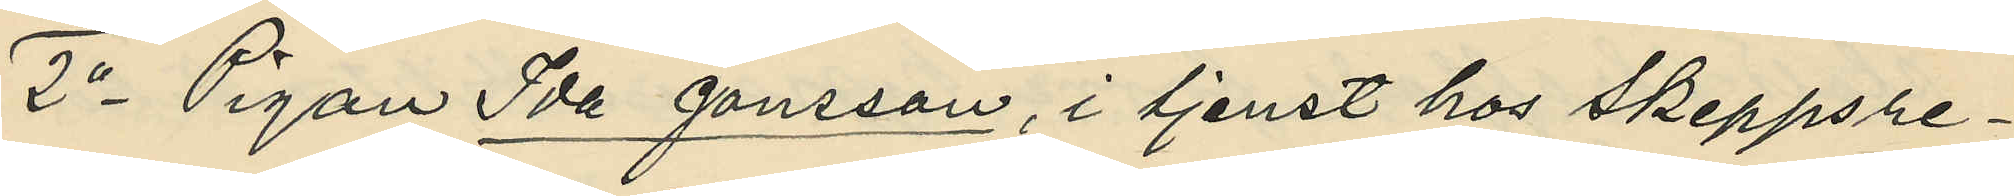2o Pigan Ida Jansson, i tjenst hos Skeppsre¬
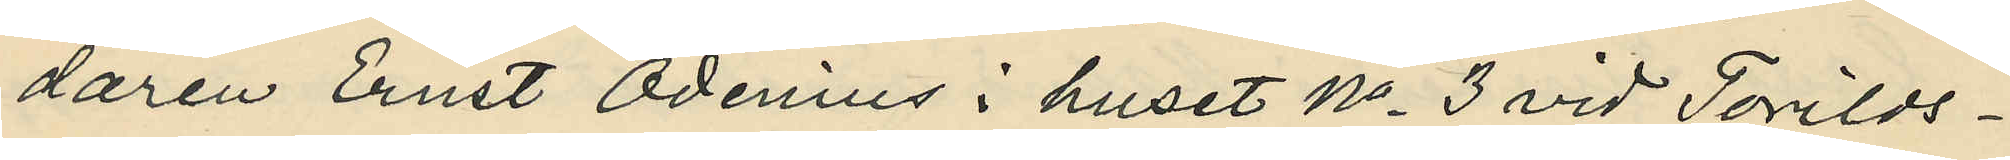daren Ernst Odenius i huset No 3 vid Torilds¬
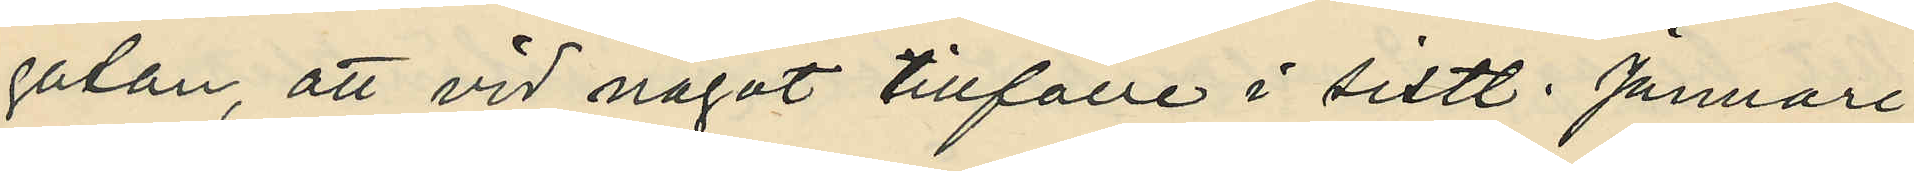gatan, att vid något tillfälle i sistl. Januari
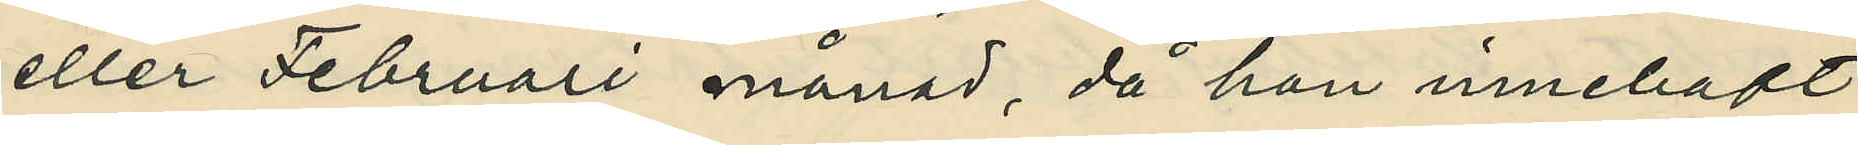eller Februari månad, då hon innehaft
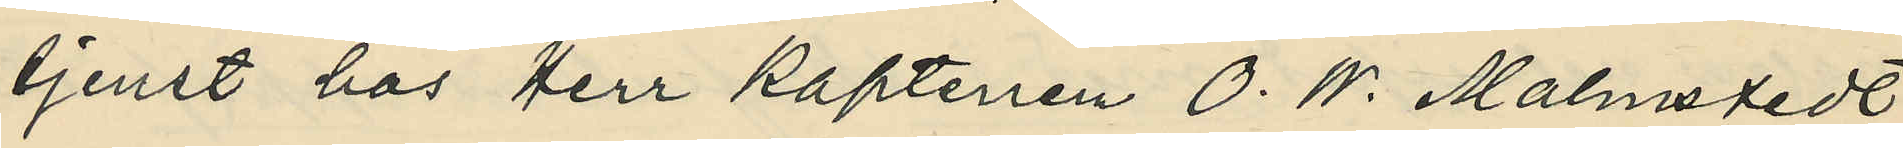tjenst hos Herr Kaptenen O. W. Malmstedt
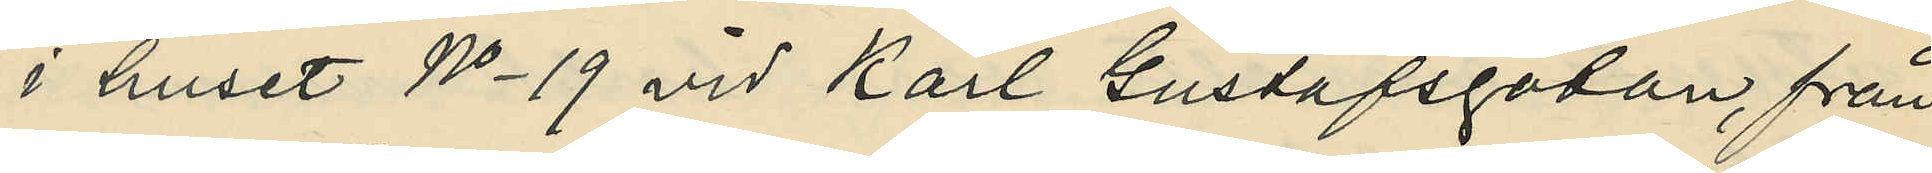i huset No 19 vid Karl Gustafsgatan, från
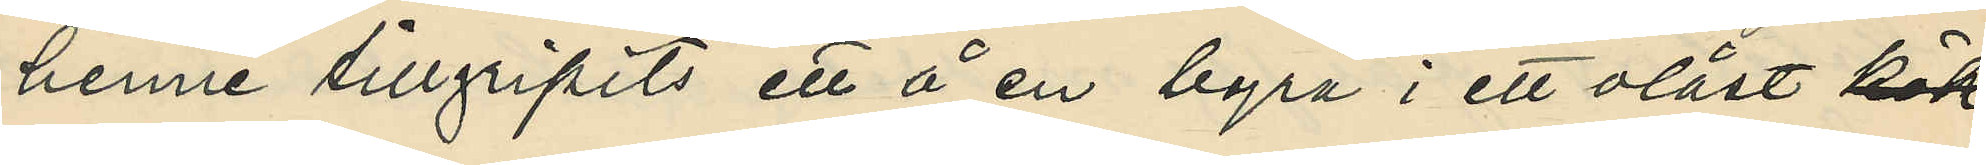henne tillgripits ett å en byrå i ett olåst kök
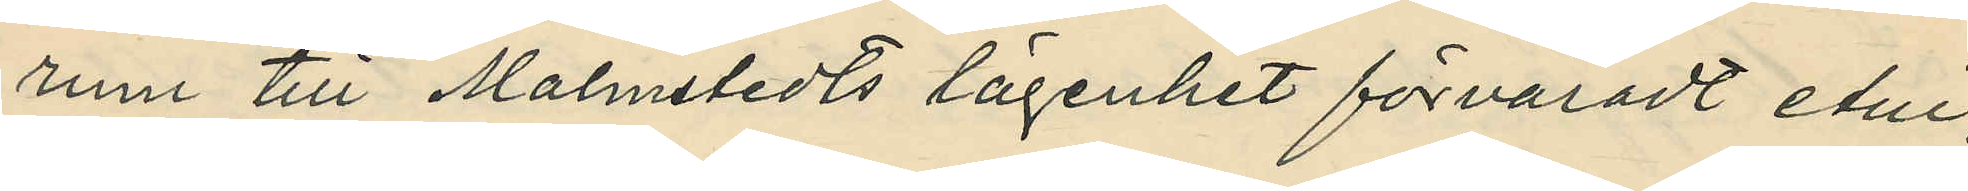rum till Malmstedts lägenhet förvaradt etui,
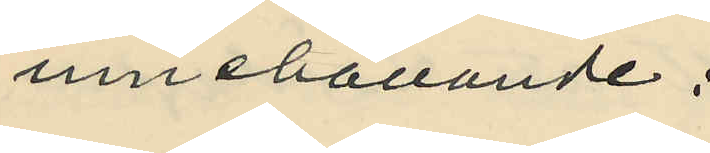innehållande:
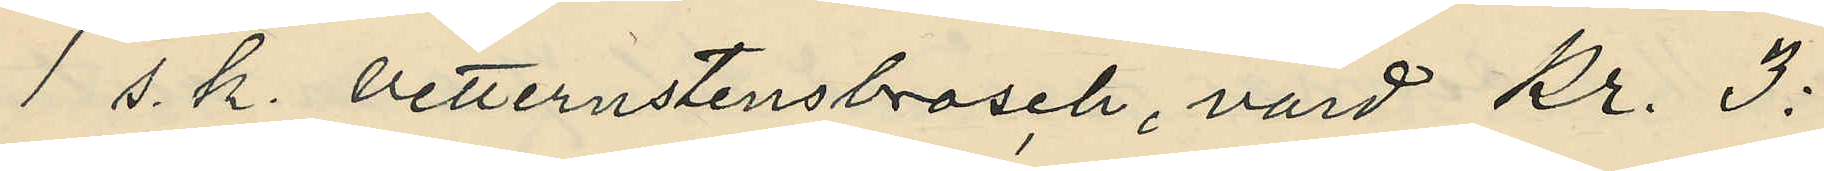1 s. k. vetternstensbrosch, värd Kr. 3:
